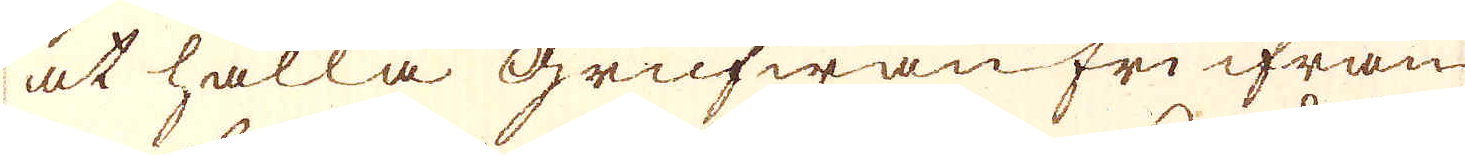at hålla Grufwan fri ifrån
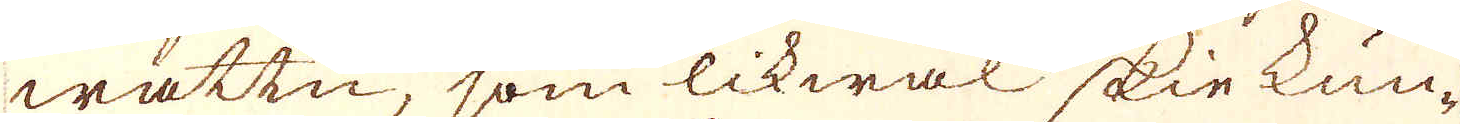wattn, som likwäl skie kun-
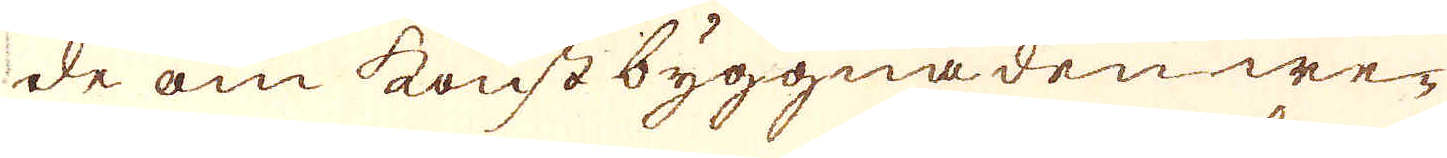de om konst byggnaden we-
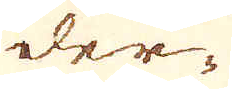der-
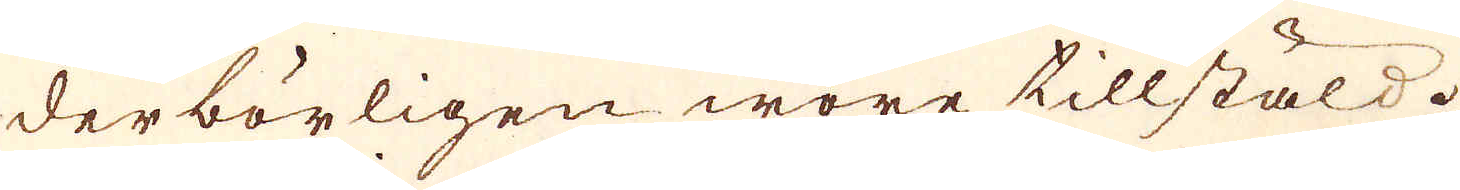derbörligen wore tillstäld.
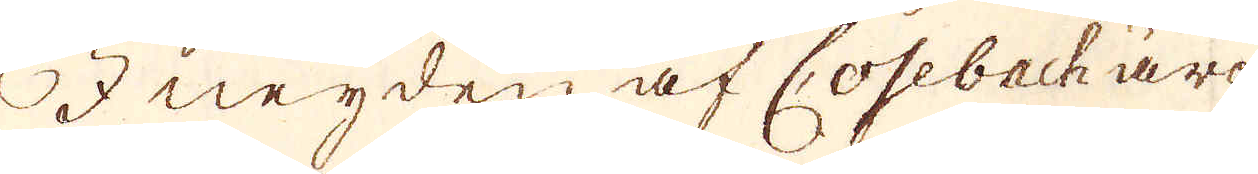I neyden af Cosebach äro
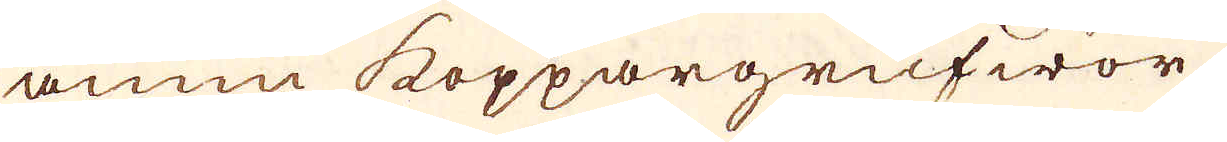ännu koppargruwor.
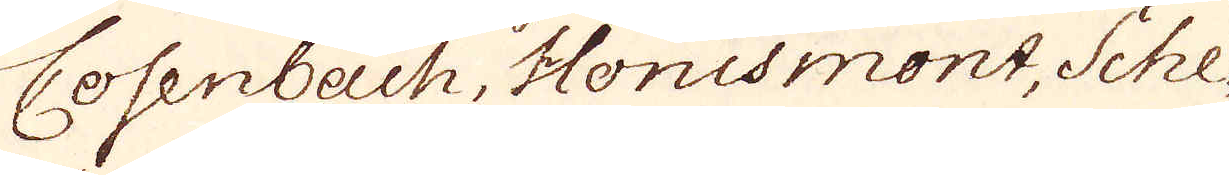Cosenbach, Honismont, Sche-
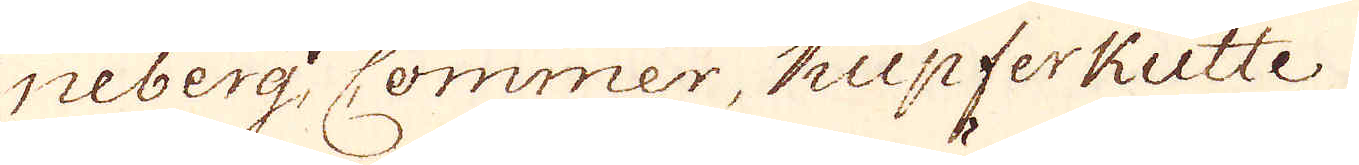neberg Commer, Kupferkutte,
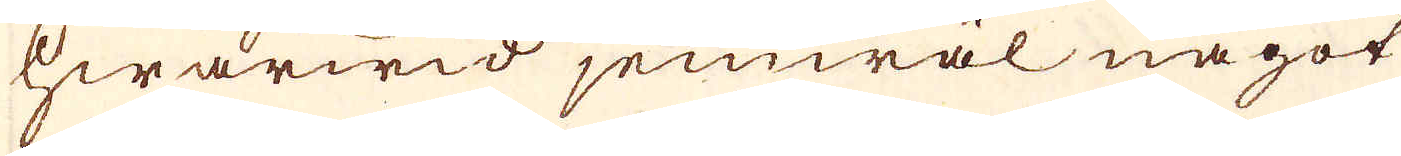hwarwid jemwäl något
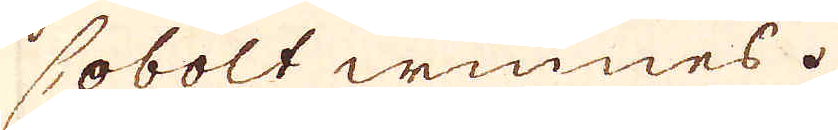Cobolt winnes.
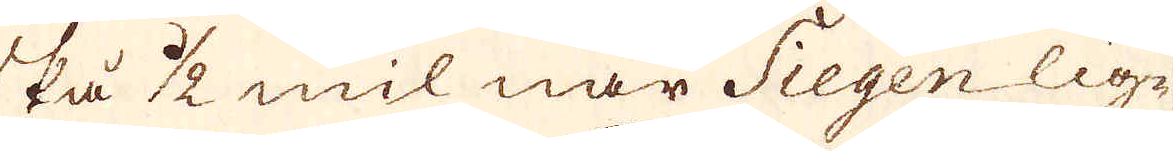På 1/2 mil när Siegen lig-
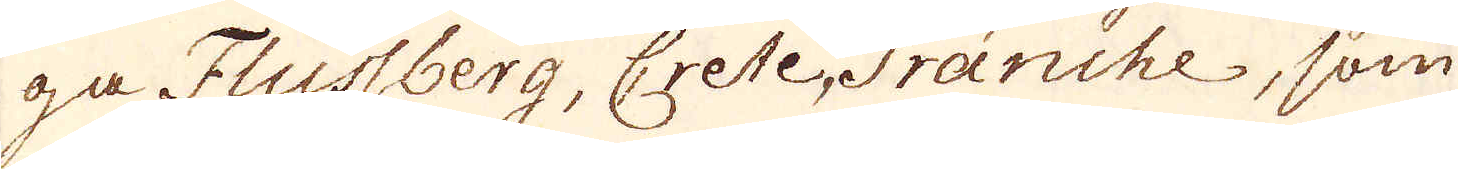ga Flussberg, Crete, Franche, som
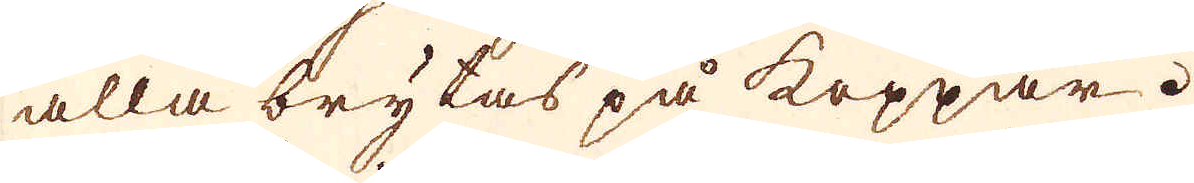alla brytas på koppar.
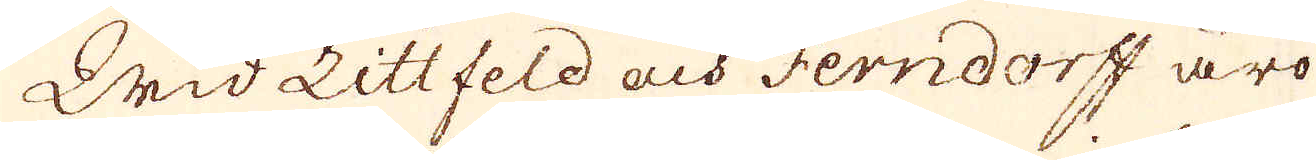Wid Littfeld och Ferndorff äro
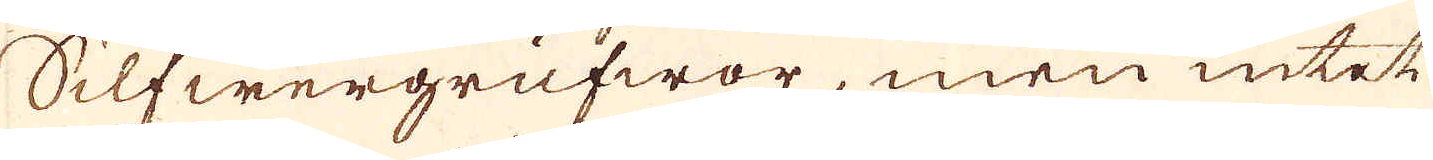Silfwergrufwor, men intet
